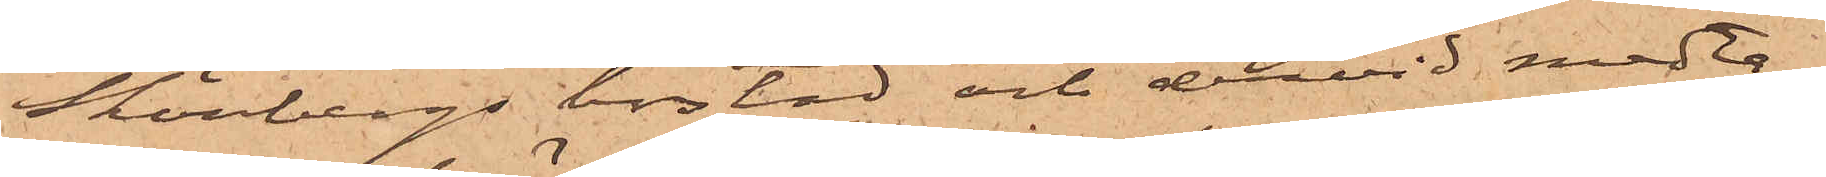Skönbergs bostad, och dervid medta¬
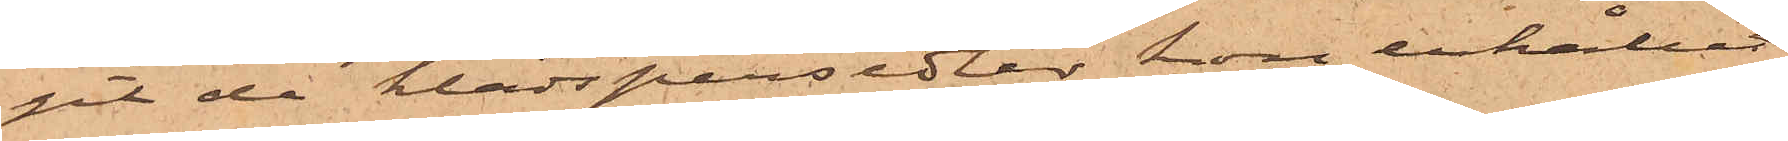git de klädspersedlar hon erhållit
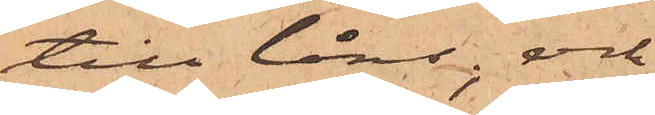till låns; och
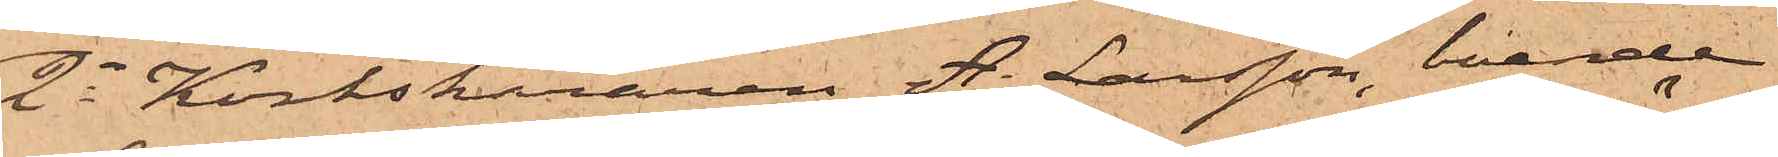2o Korkskäraren A. Larsson, boende
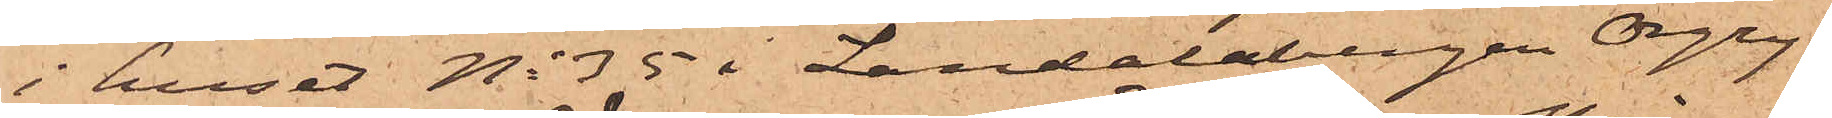i huset No 35 i Landalabergen Örgry¬
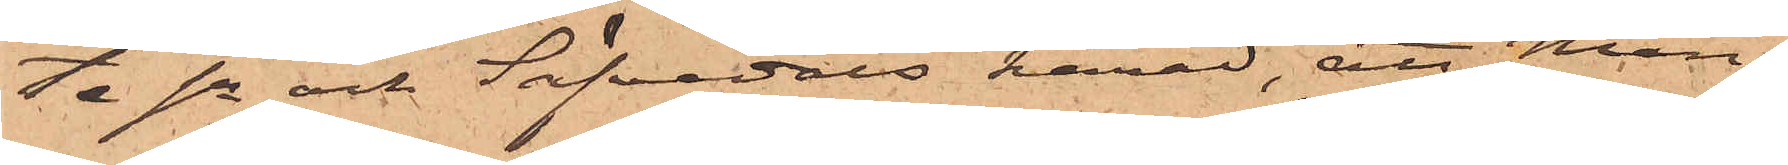ta sn och Säfvedals härad, att Mån¬
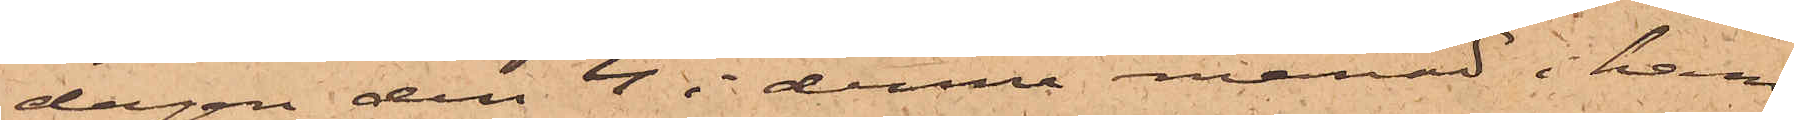dagen den 4 i denna månad i hans
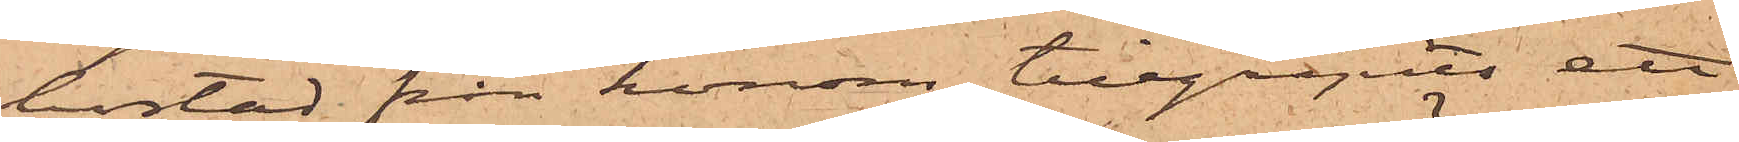bostad från honom tillgripits ett
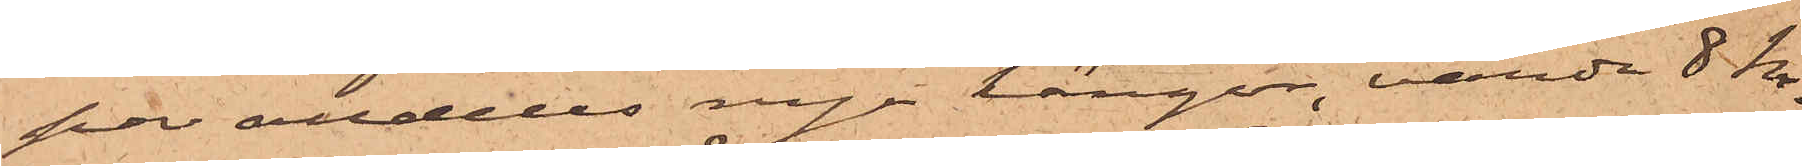par alldeles nya kängor, värda 8 Kr.
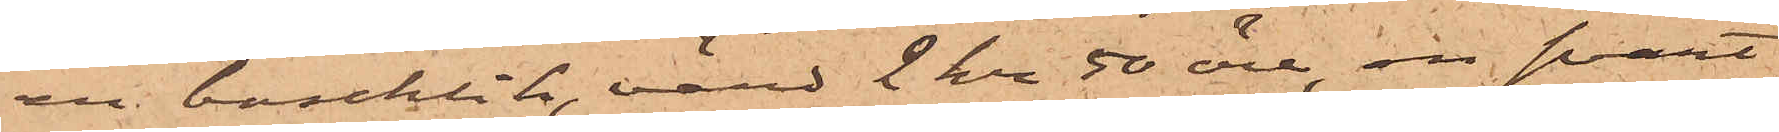en baschlik, värd 2 kr 50 öre, en svart
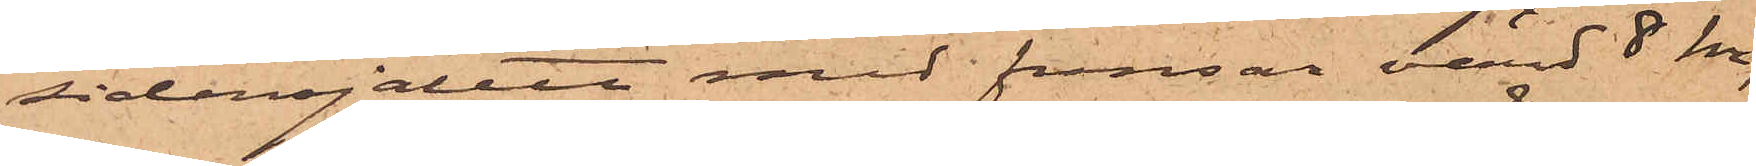sidensjalett med fransar, värd 8 kr,
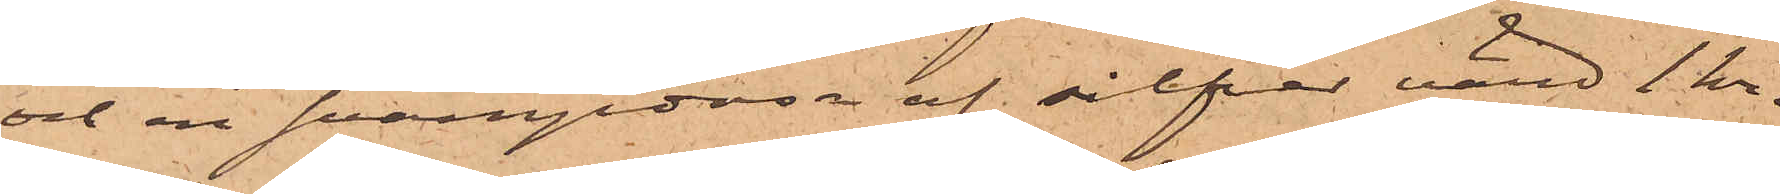och en svampdosa af silfver, värd 1 kr.
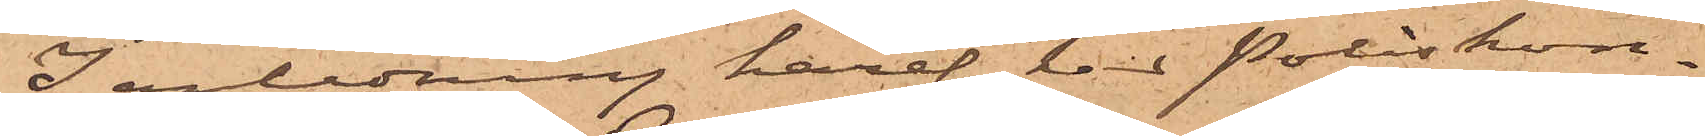I anledning häraf har Poliskon¬
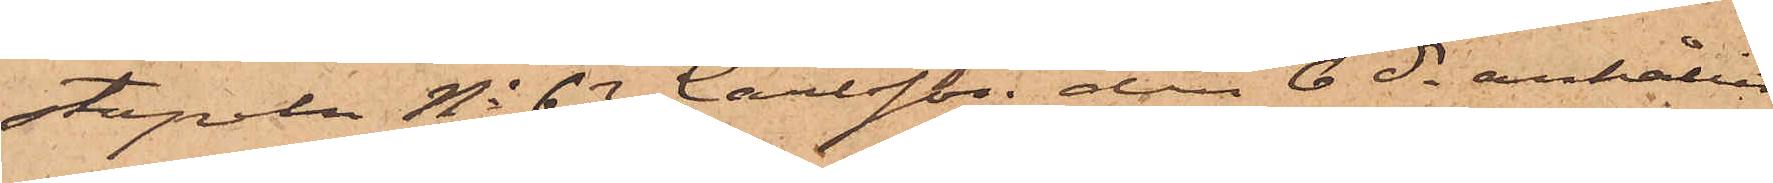stapeln No 63 Carlsson den 6 ds anhållit
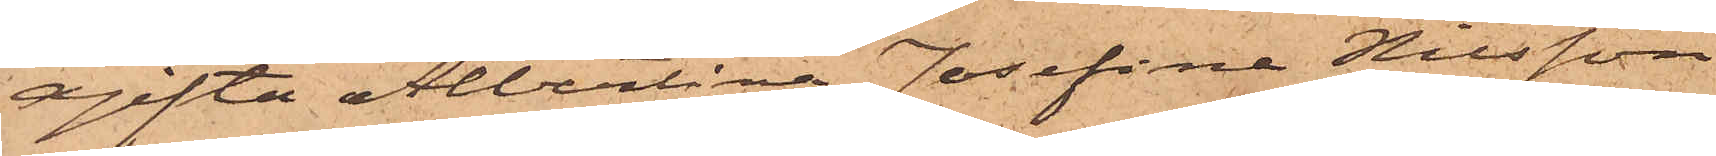ogifta Albertina Josefina Nilsson
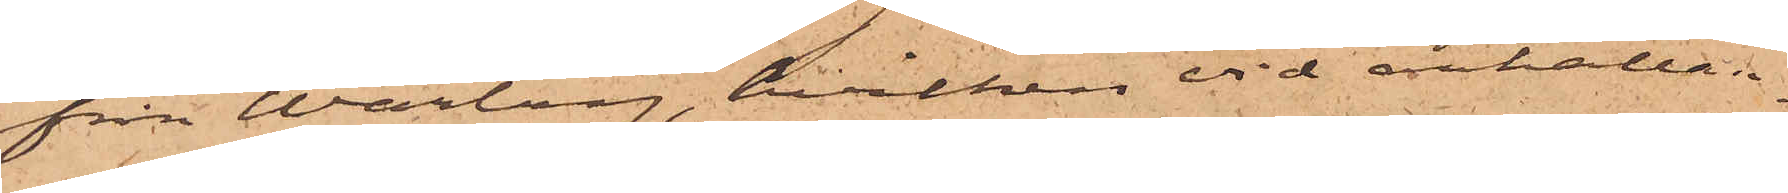från Warberg, hvilken vid anhållan¬
